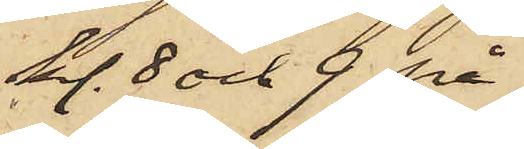kl. 8 och 9 på
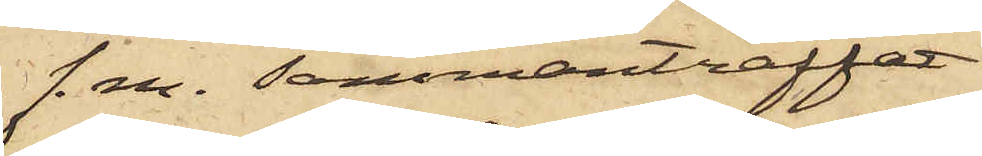f. m. sammanträffat
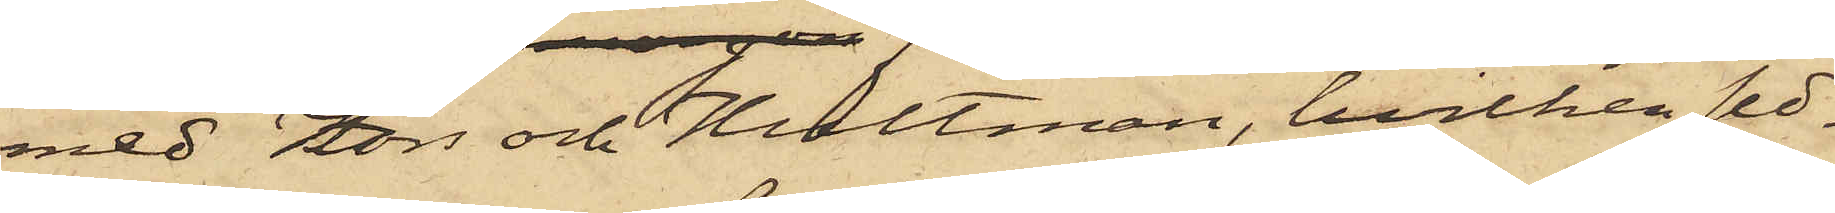med Fors och Hultman, hvilken sed¬
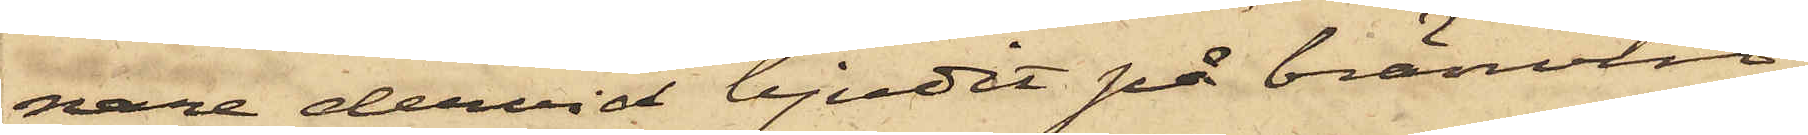nare dervid bjudit på bränvin;
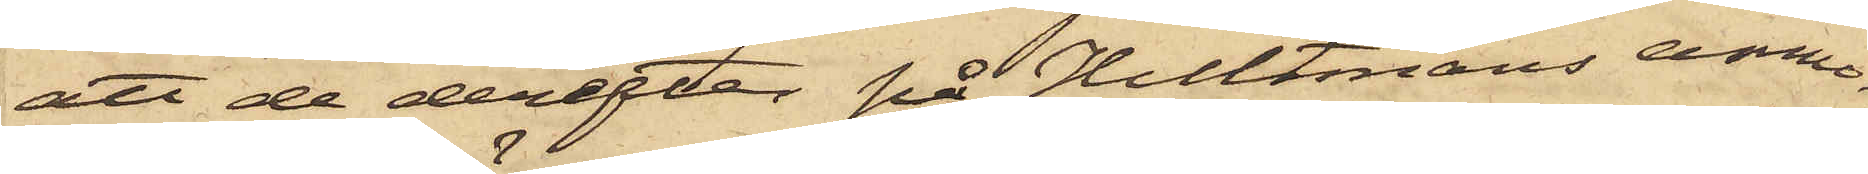att de derefter på Hultmans anmo¬
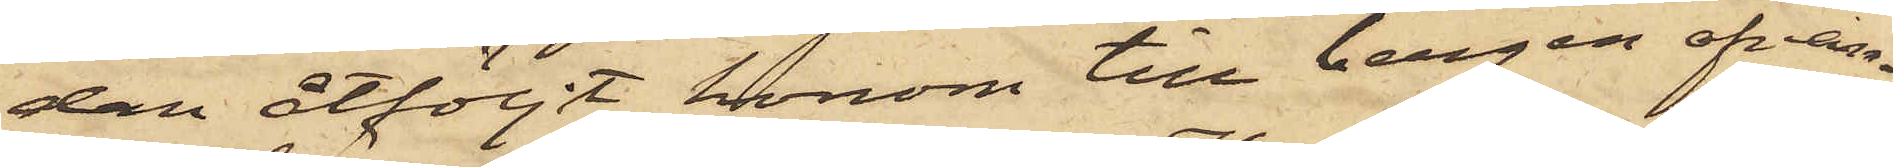dan åtföljt honom till bergen ofvan¬
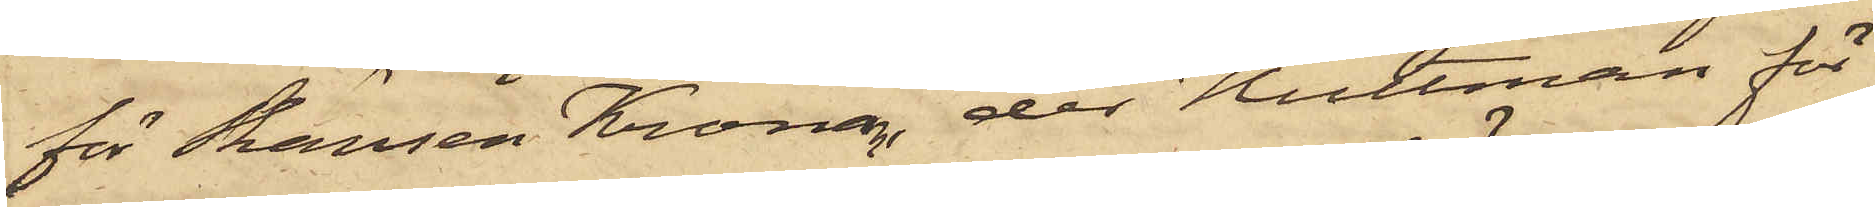för Skansen Kronan, der Hultman för
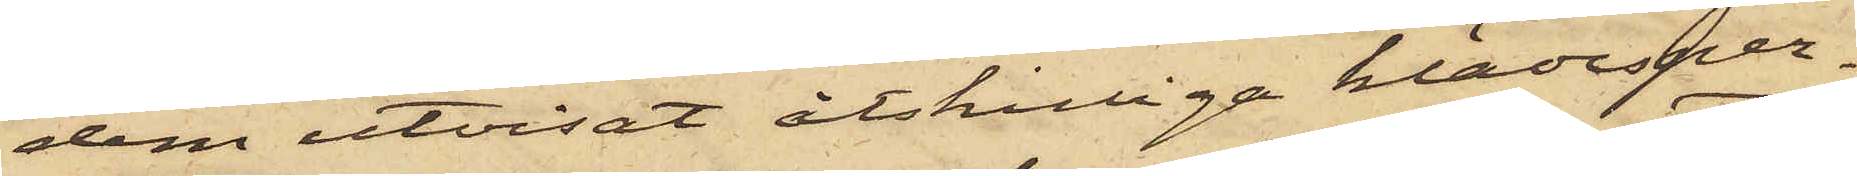dem utvisat åtskilliga klädesper¬
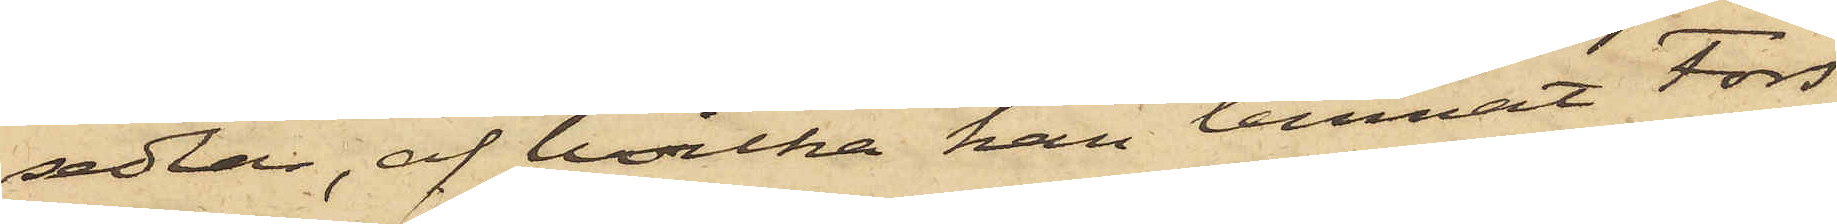sedlar, af hvilka han lemnat Fors
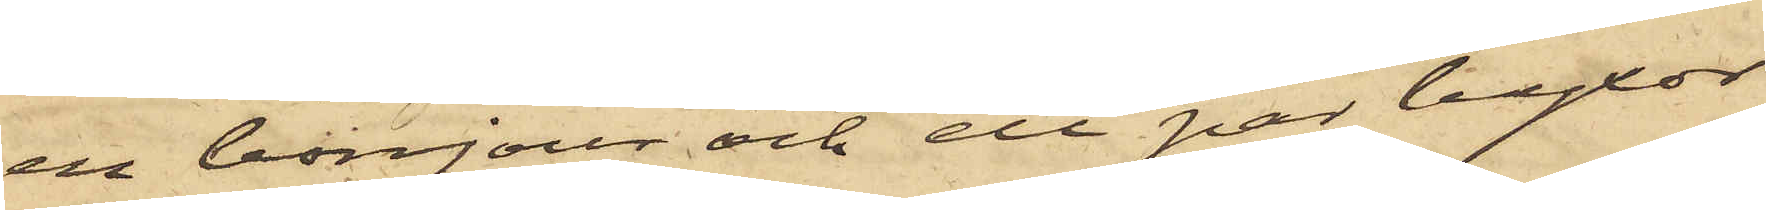en bonjour och ett par byxor
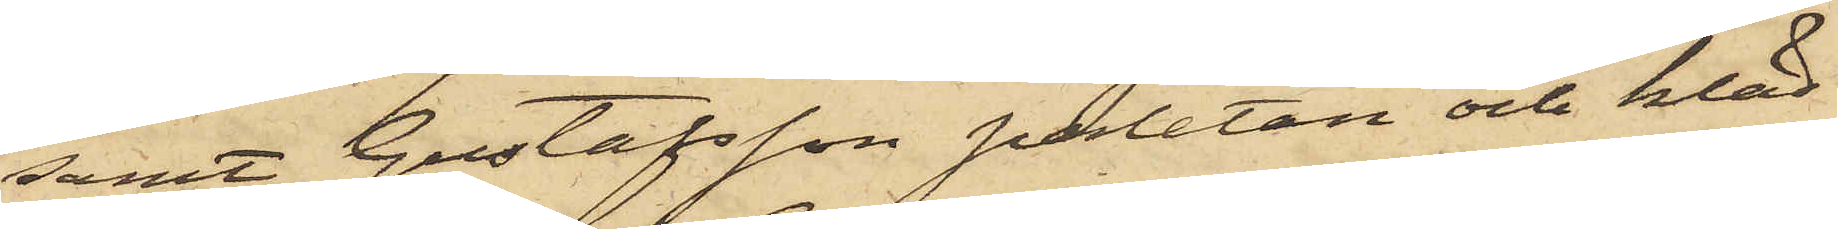samt Gustafsson paletån och kläd¬
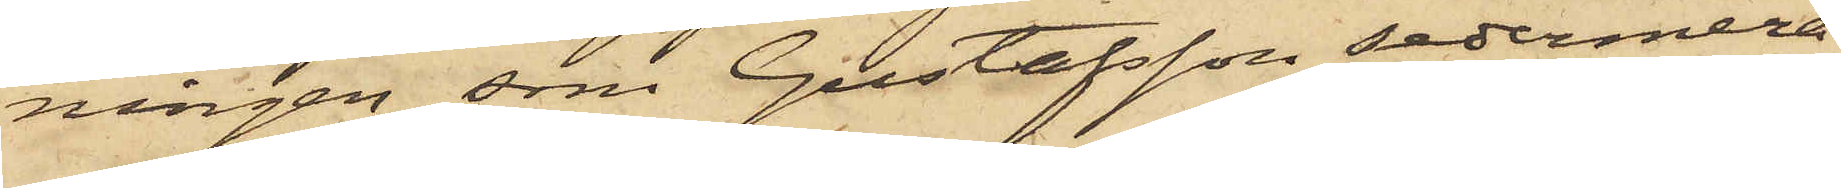ningen, som Gustafsson sedermera
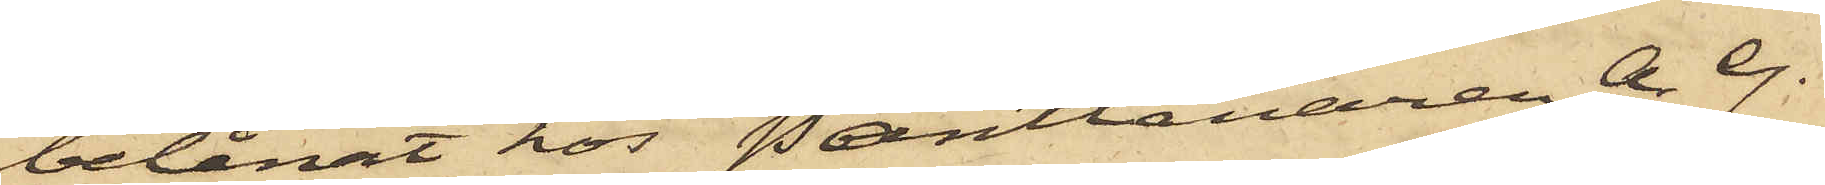belånat hos Pantlånaren A. G.
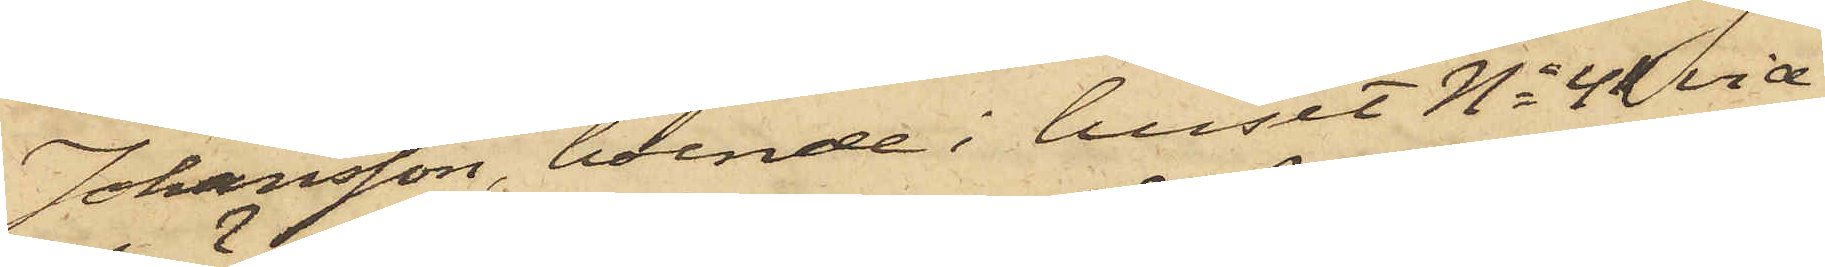Johansson, boende i huset No 41 vid
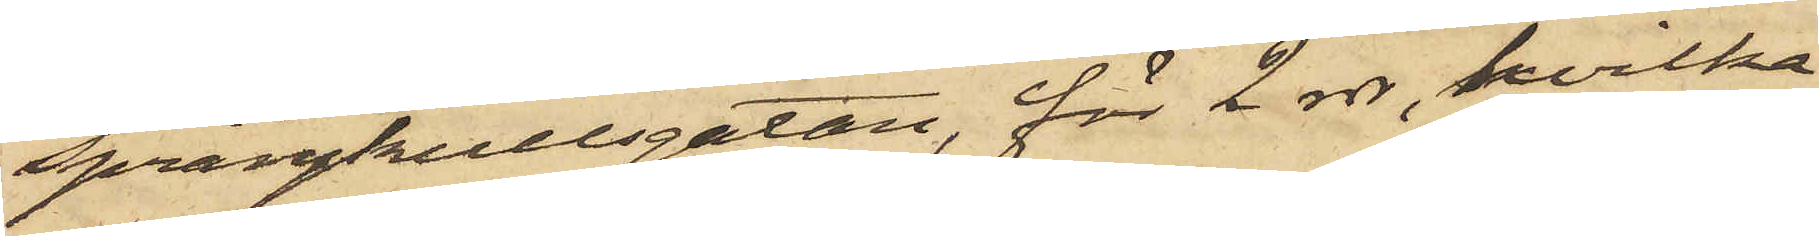Sprängkullsgatan, för 2 rdr, hvilka
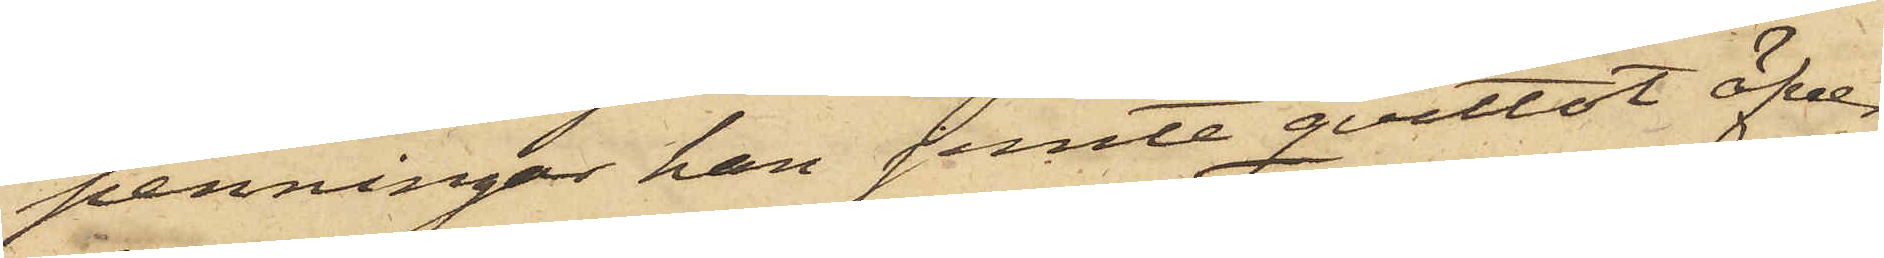penningar han jemte qvittot öfver¬
